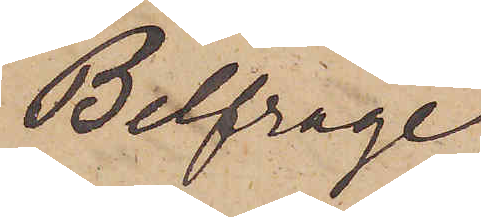Belfrage
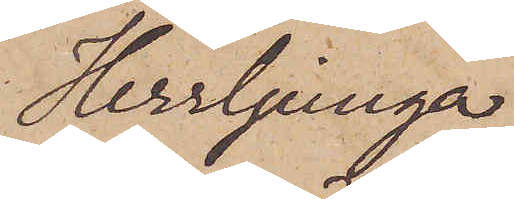Herrljunga
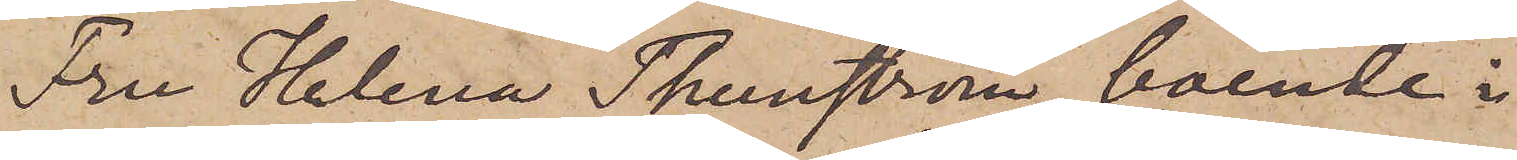Fru Helena Thunström, boende i
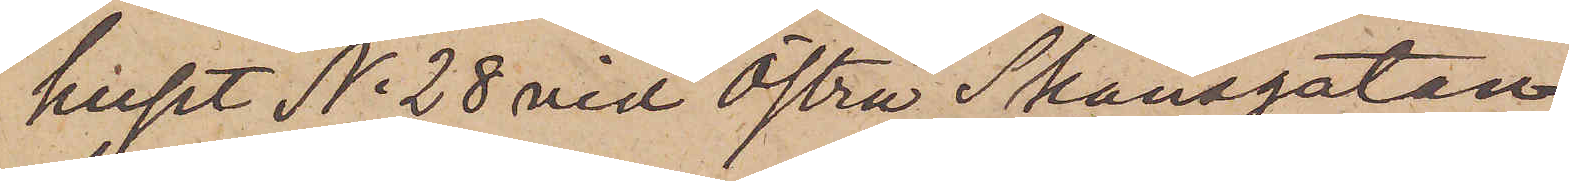huset No 28 vid Östra Skansgatan,
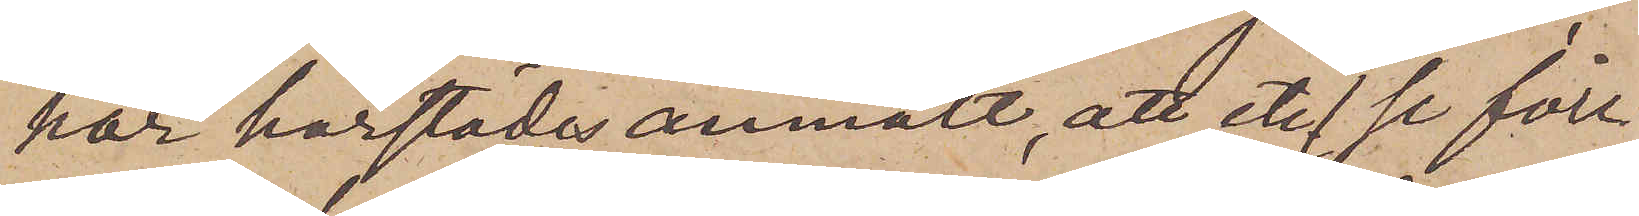har härstädes anmält, att etc (se före¬
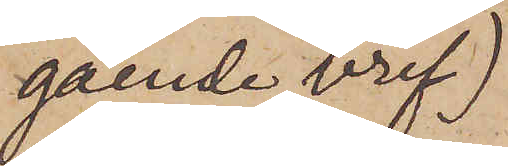gående bref)
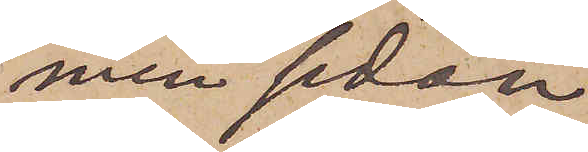men sedan
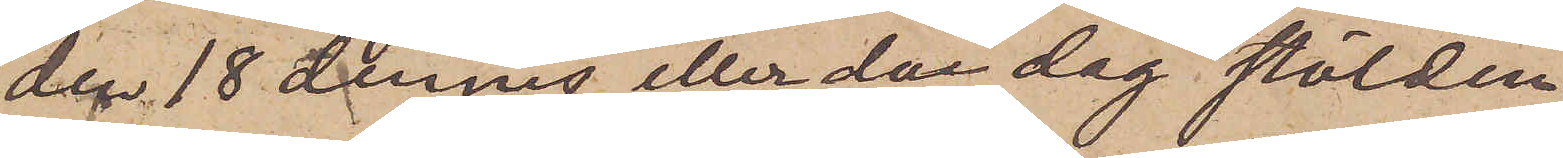den 18 dennes eller den dag stölden
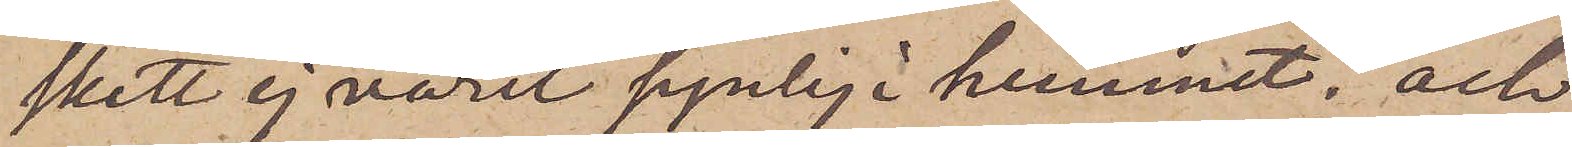skett ej varit synlig i hemmet; och
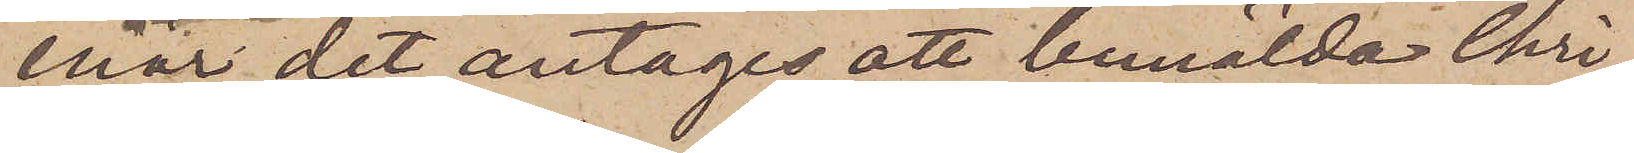enär det antages att bemälda Chri¬
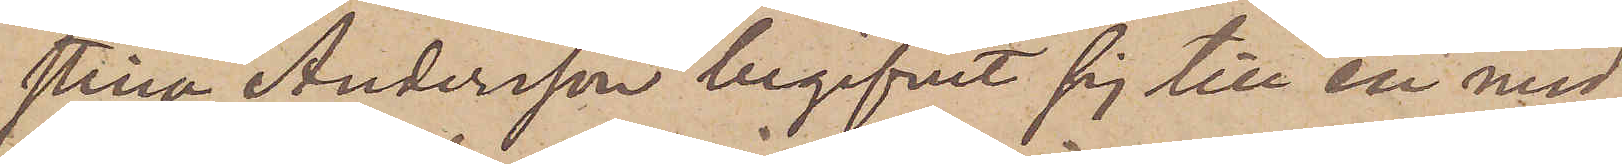stina Andersson begifvit sig till en med
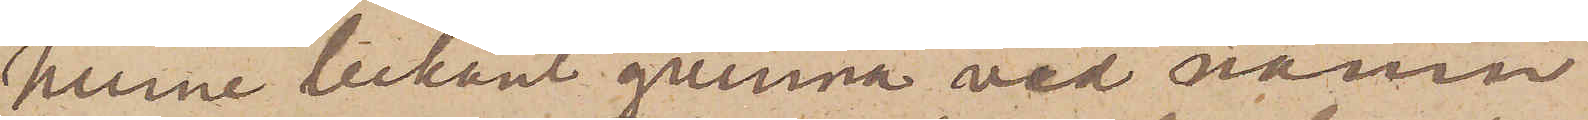henne bekant qvinna vid namn
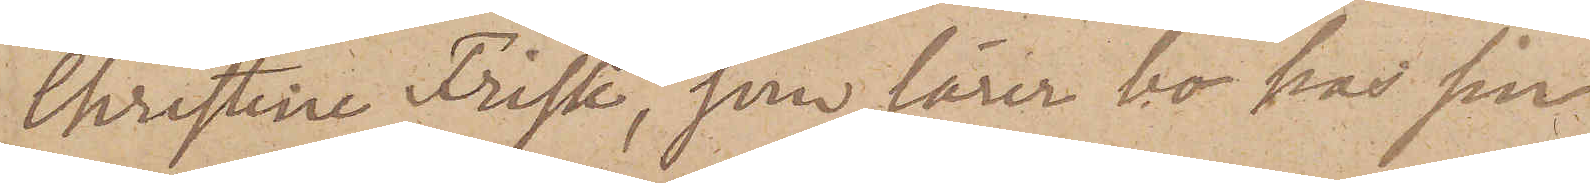Christine Frisk, som lärer bo hos sin
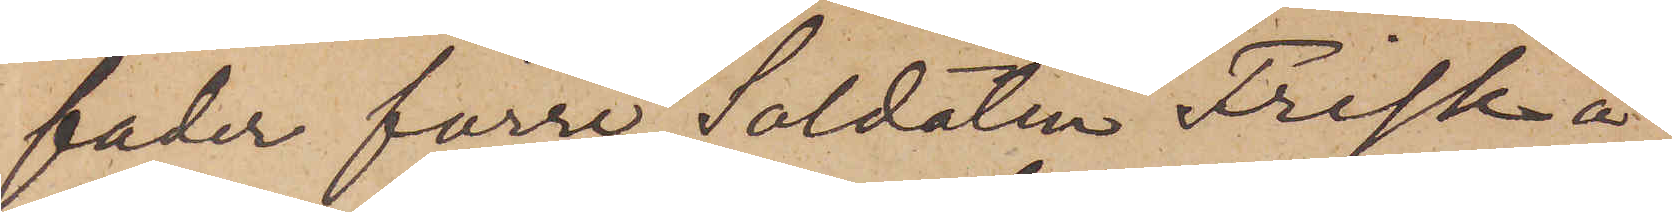fader förre Soldaten Frisk å
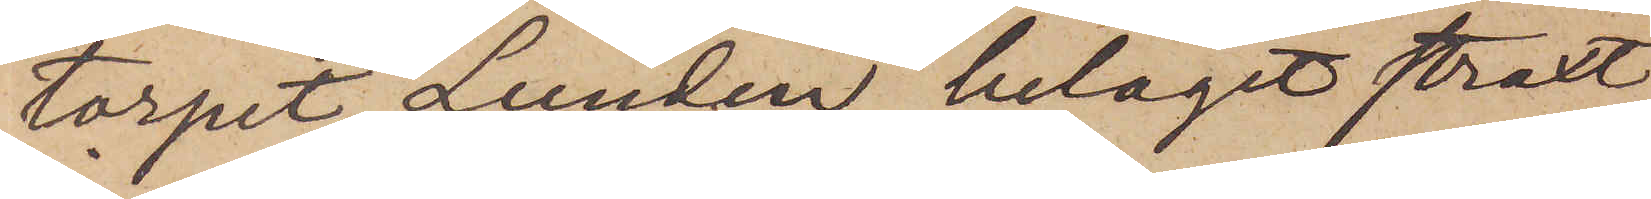torpet Lunden, beläget straxt
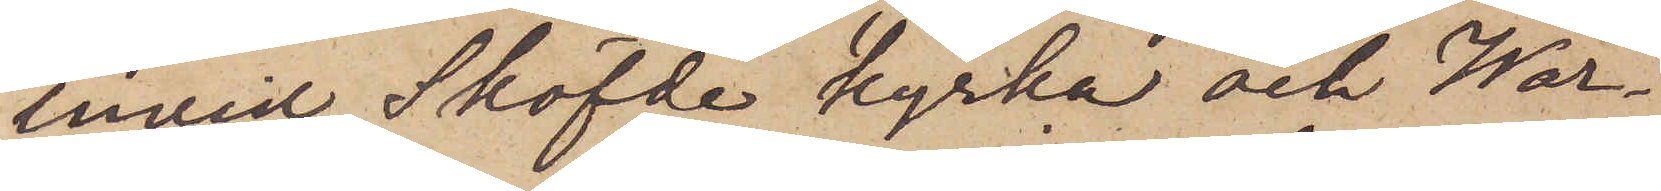invid Sköfde kyrka och Wår¬
